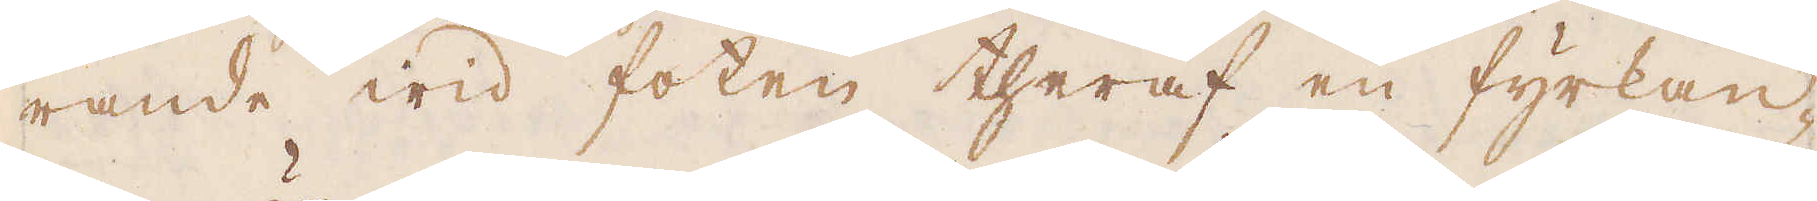rande wid foten theraf en fyrkan-
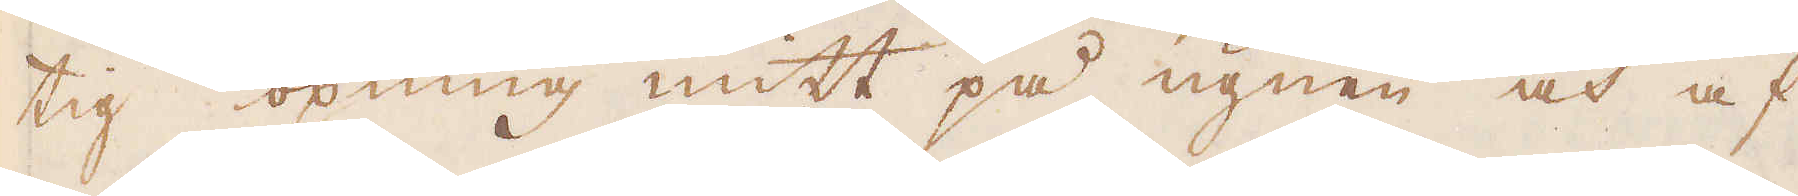tig öpning mitt på ugnen och af
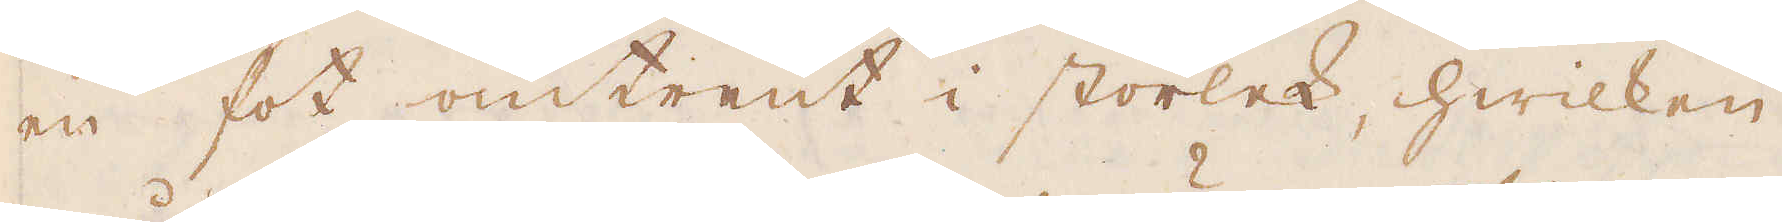en fot omtrent i storlek, hwilken
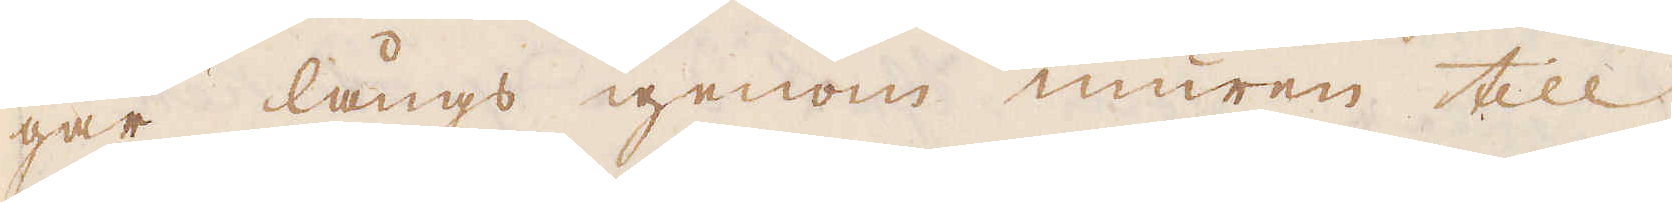går långs igenom muren till
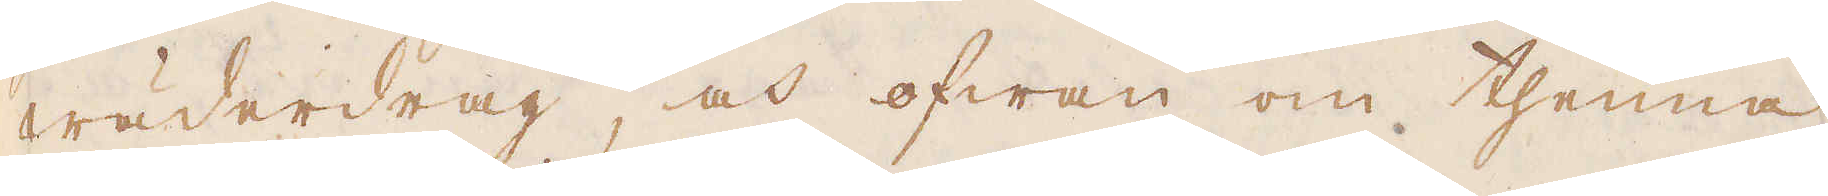wäderdrag, och ofwan om thenna
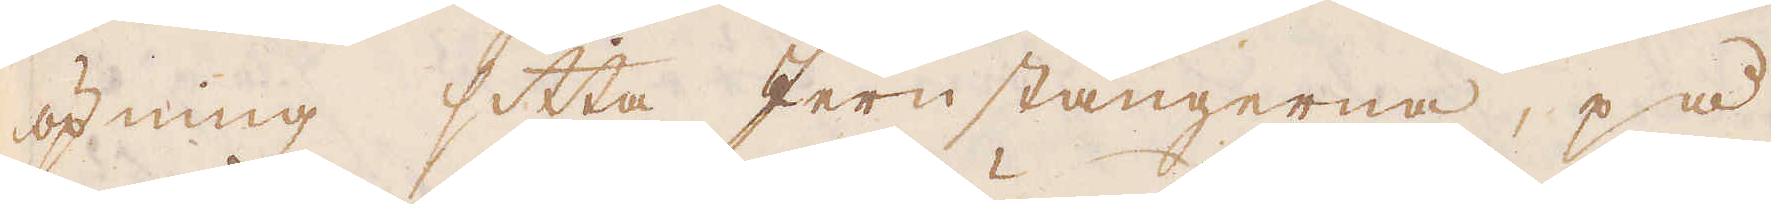öpning sitta Jernstängerna, på
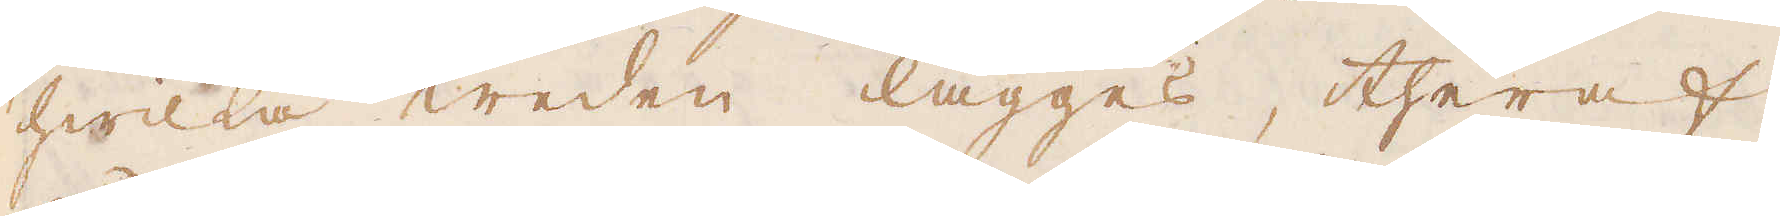hwilka weden lägges, theraf
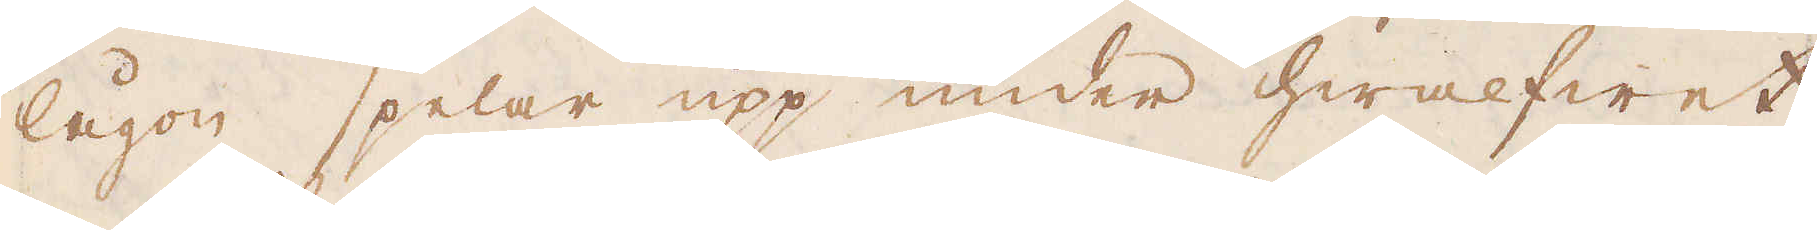lågon spelar upp under hwalfwet
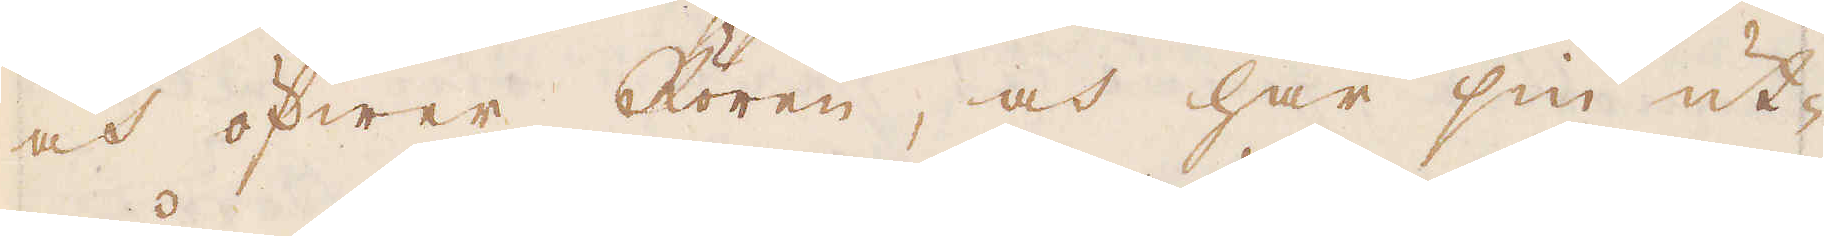och öfwer Rören, och har sin ut-
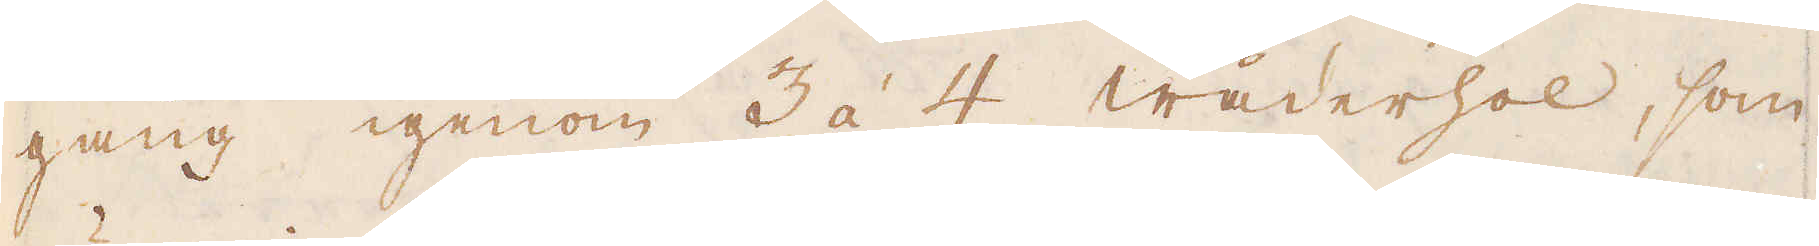gång igenom 3 à 4 wäderhol, som
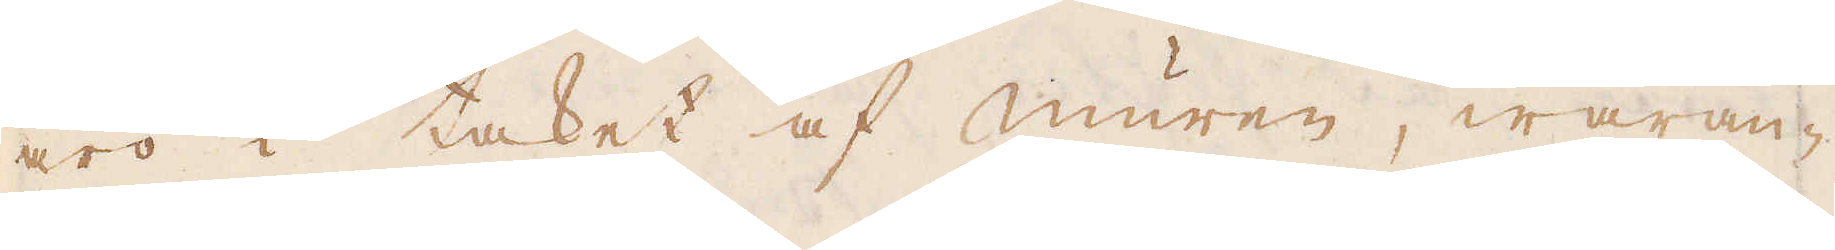äro i taket af muren, waran-
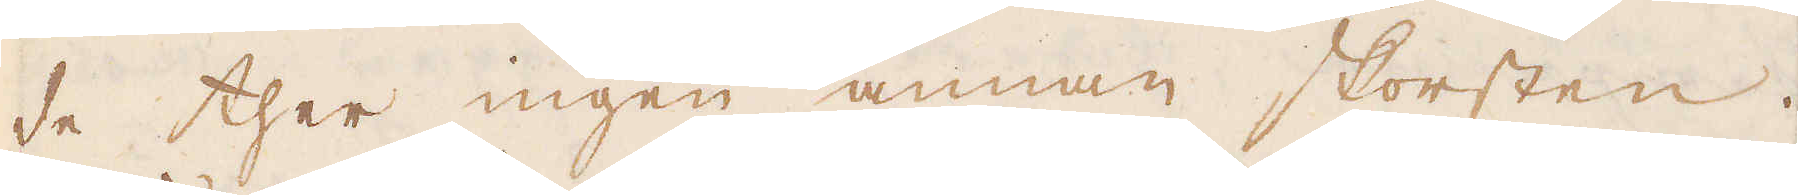de ther ingen annan skorsten.
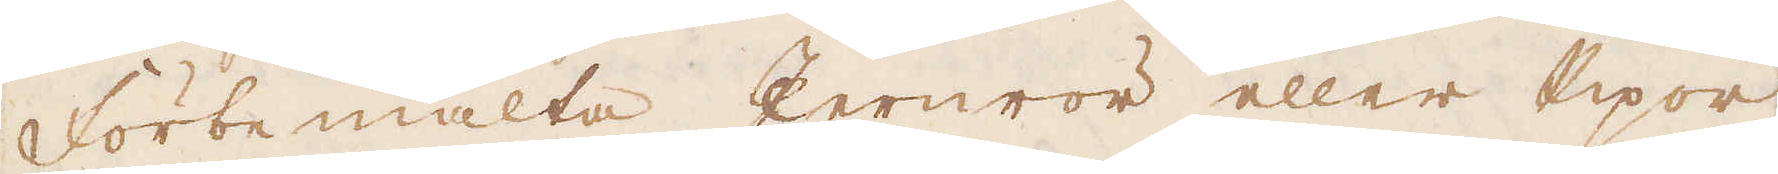Förbemälta Jernrör eller Pipor
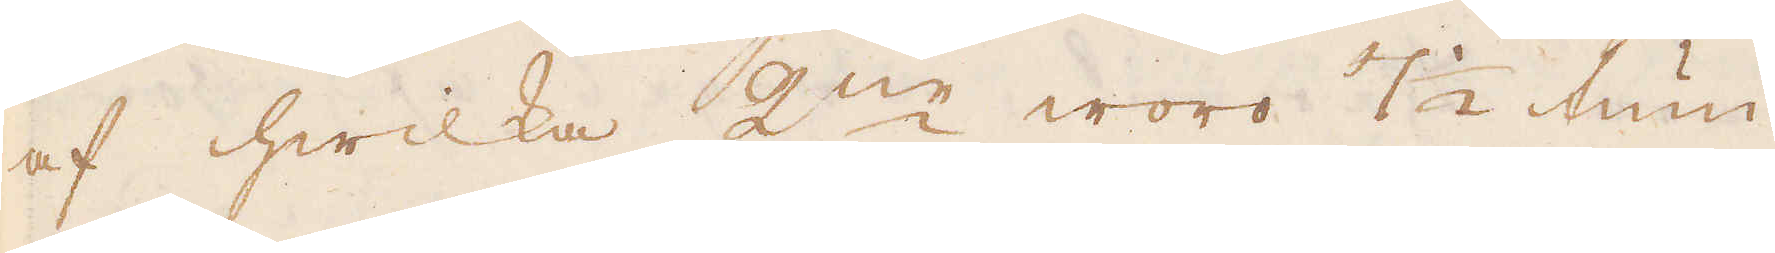af hwilka 2:ne woro 7 1/2 tum
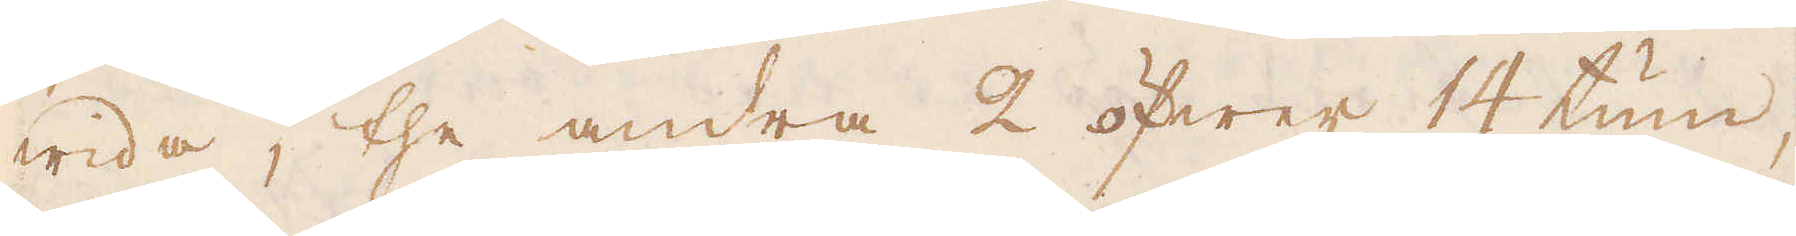wida, the andra 2 öfwer 14 tum
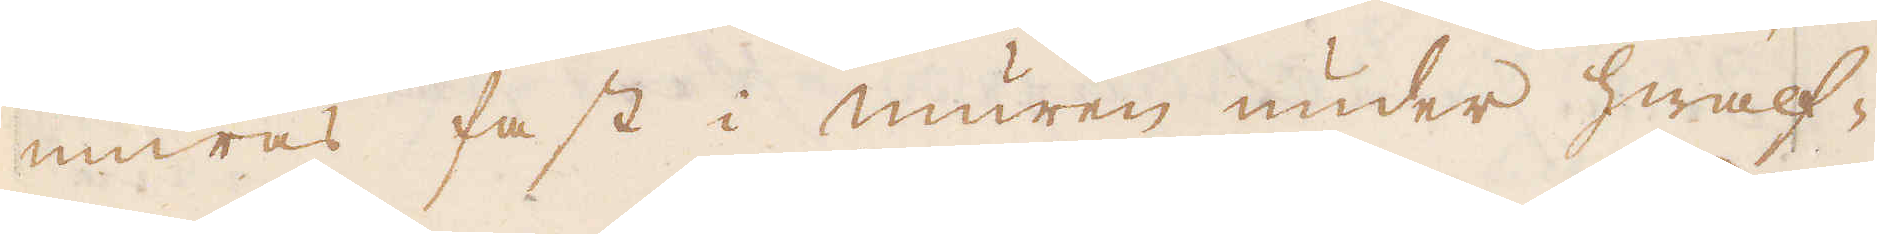muras fast i muren under hwalf-
